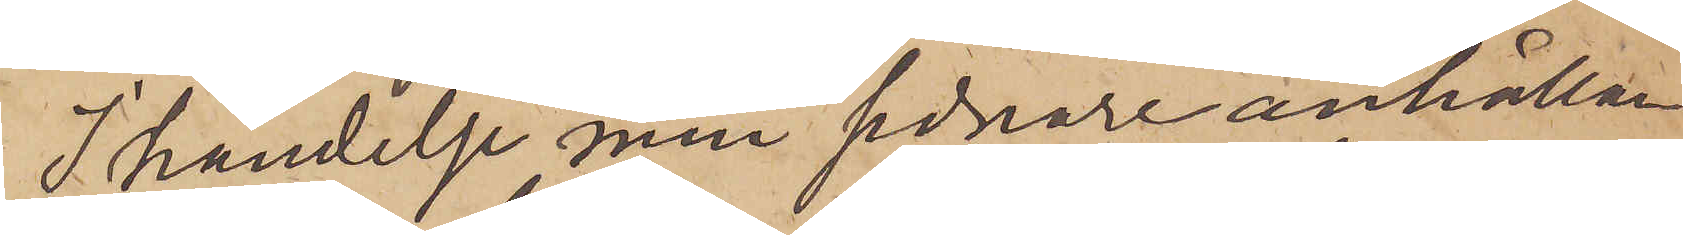I händelse min sednare anhållan
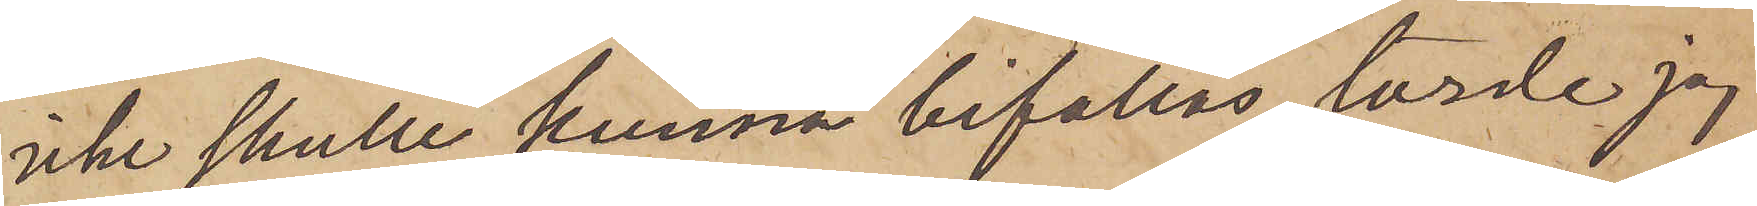icke skulle kunna bifallas, torde jag
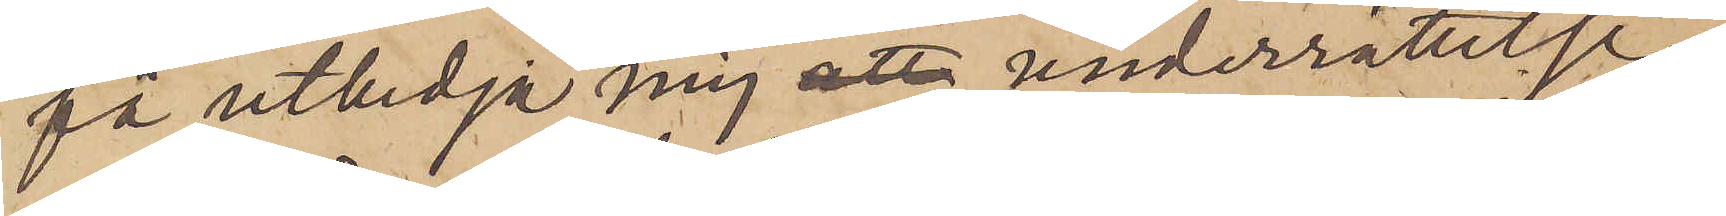få utbedja mig underrättelse
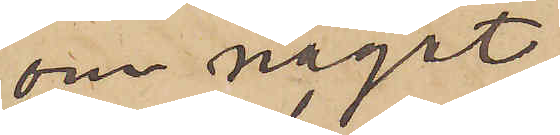om något
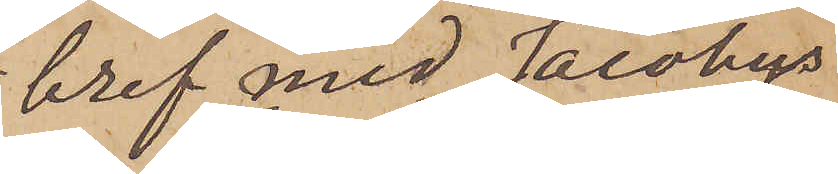bref med Jacobys
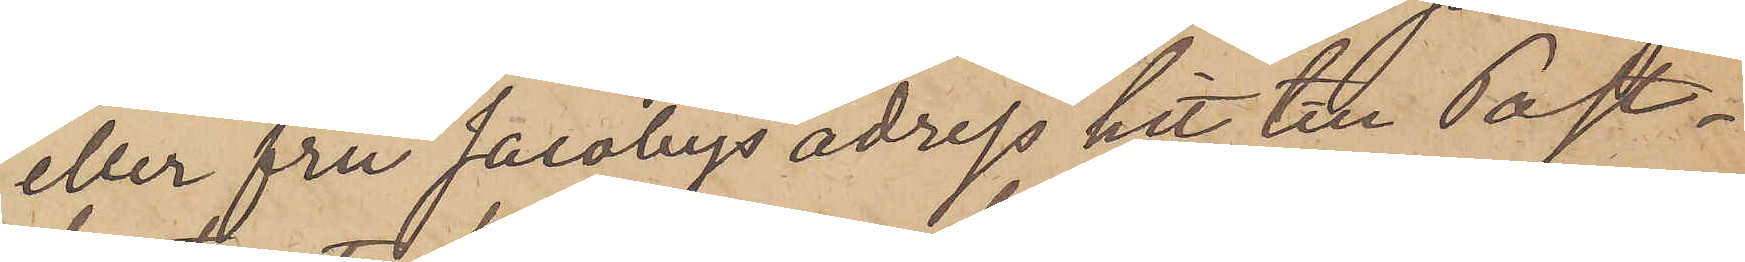eller fru Jacobys adress hit till Post¬
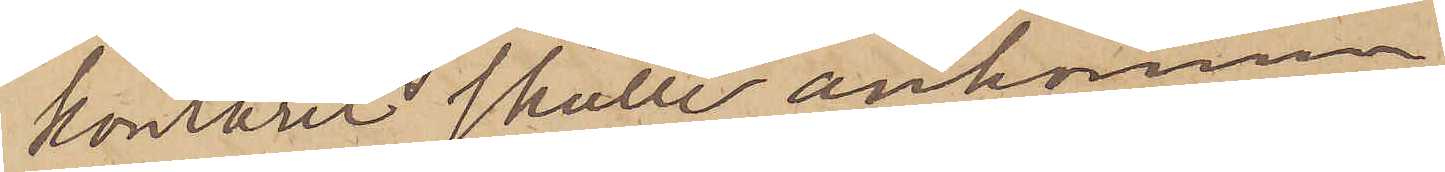kontoret skulle ankomma.
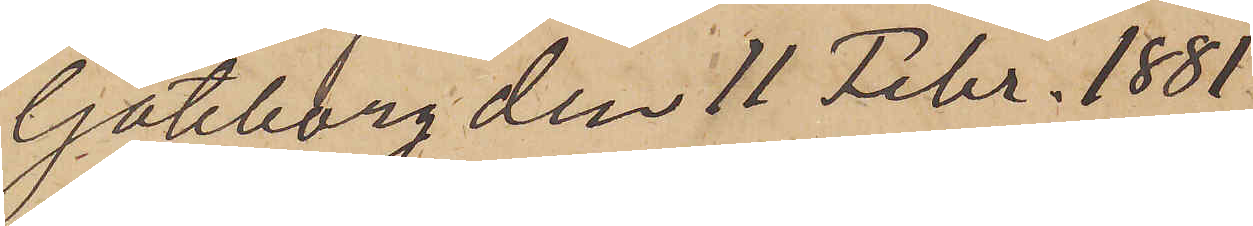Göteborg den 11 Febr. 1881.
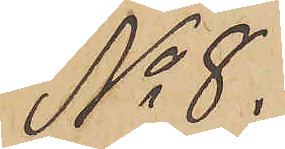No 8.
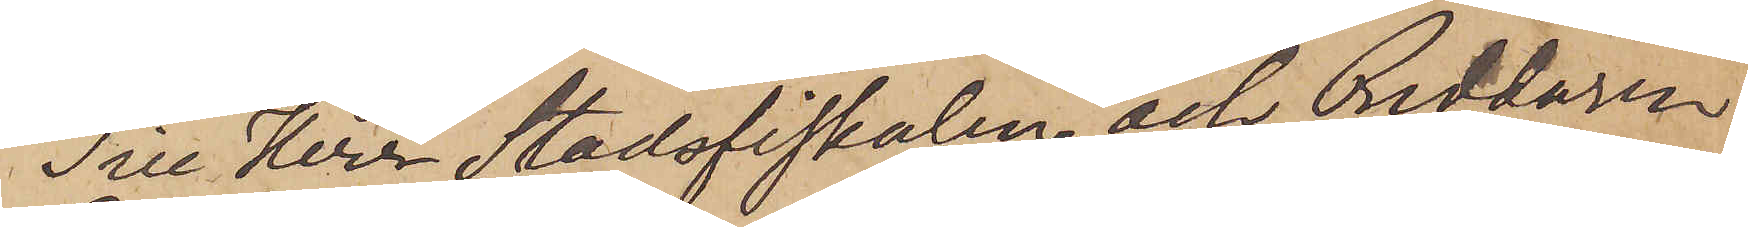Till Herr Stadsfiskalen och Riddaren
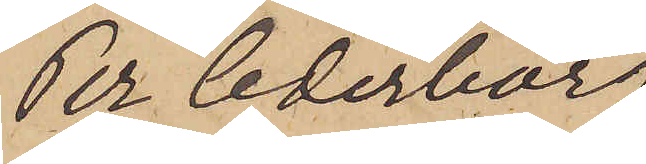Per Cederborg.
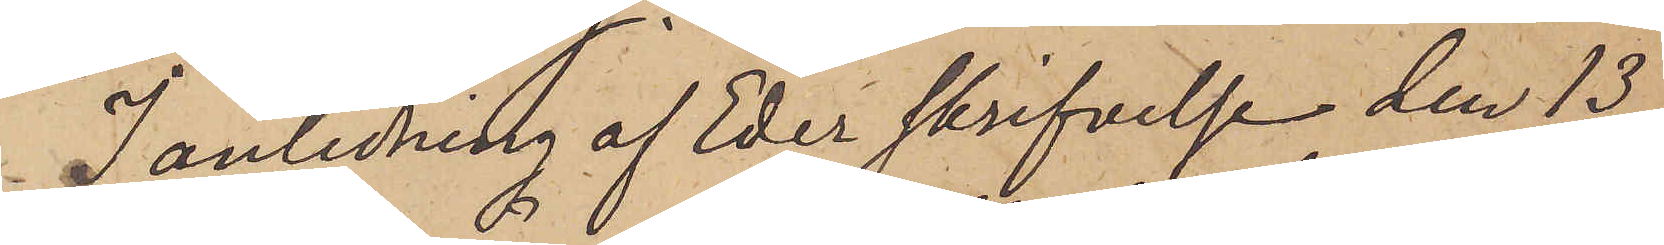I anledning af Eder skrifvelse den 13
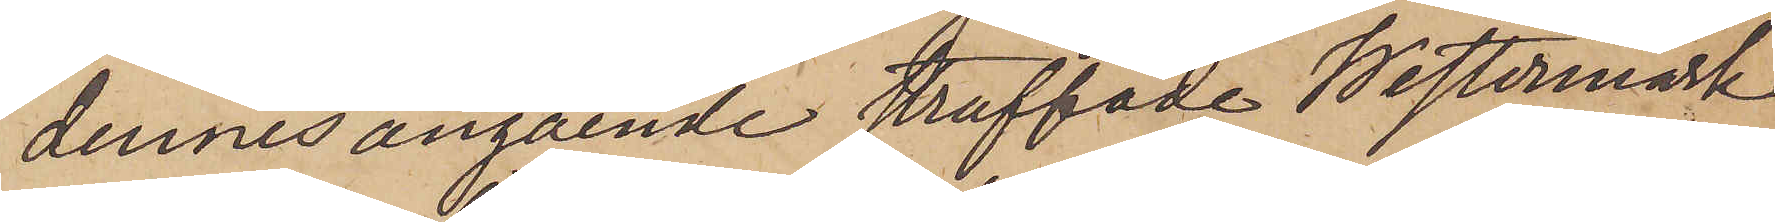dennes angående straffade Westermark
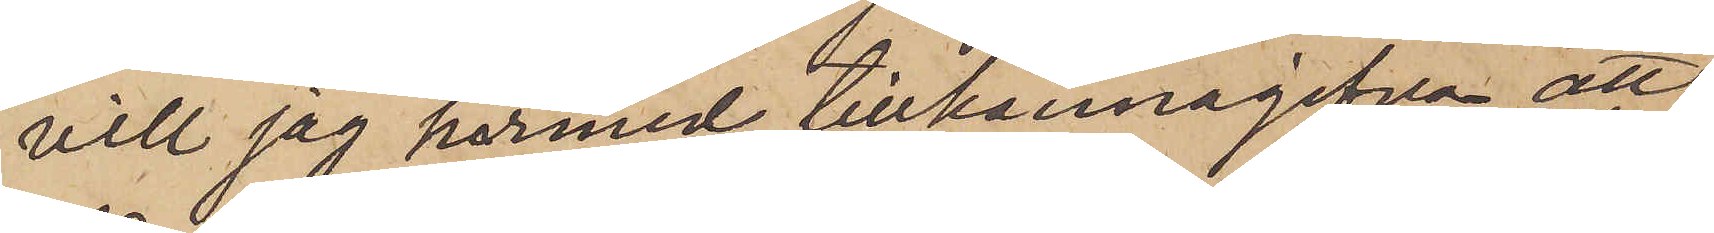vill jag härmed tillkännagifva att
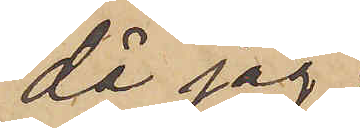då jag
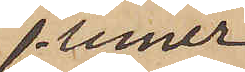finner
